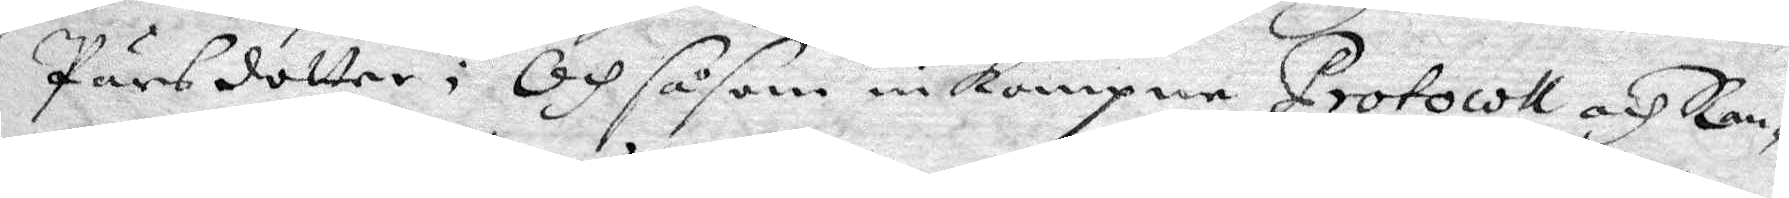Pärsdotter; Och såsom inkompne Protocoll och Ran¬
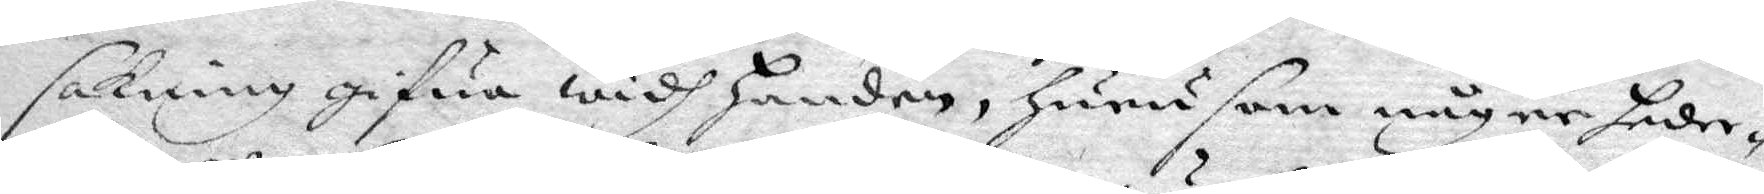sakning gifua widh handen, Hurusom någre heder¬
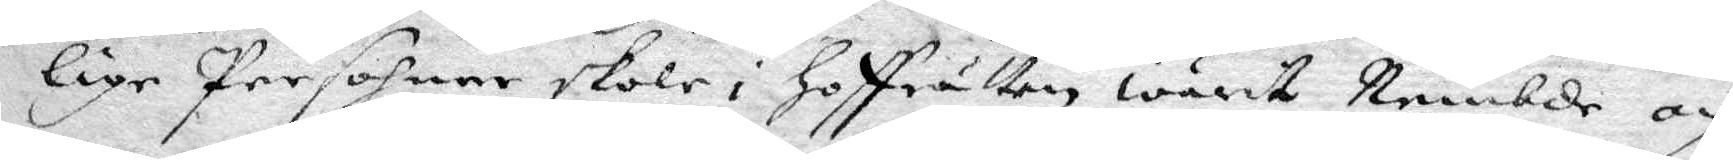lige Persohner skole i Goffrätten warit Nembde och
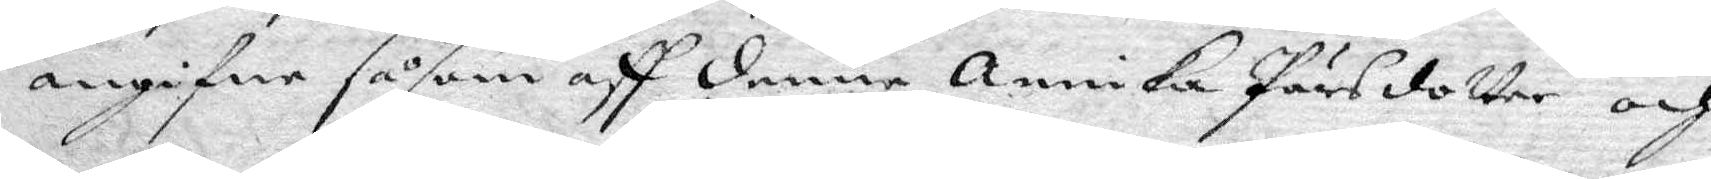angifne såsom aff denne Annika Pärsdotter och
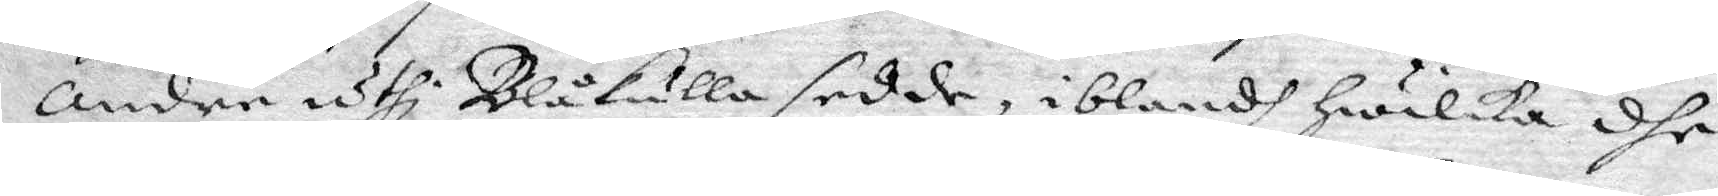Andre uthi Blåkulla sedde, iblandh Hwilka dhe
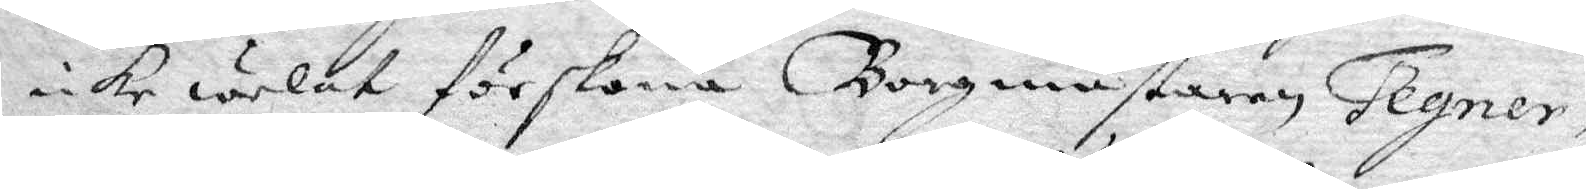icke welat förskona Borgmästaren Tegner; 
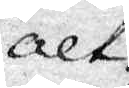alt¬
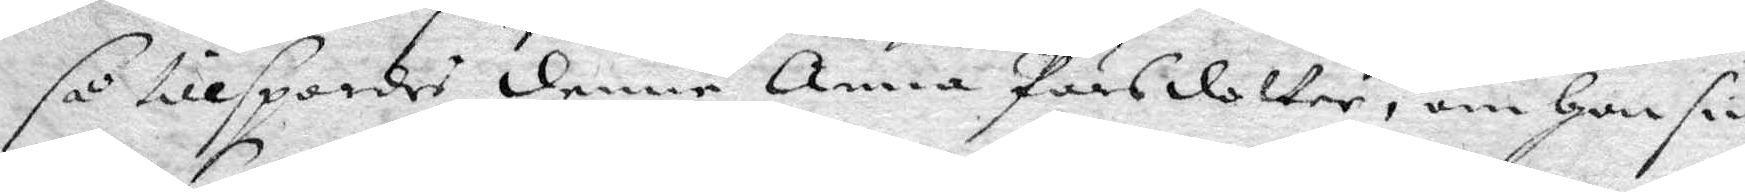så tillspordes denne Anna Pärsdotter, om Hon sin
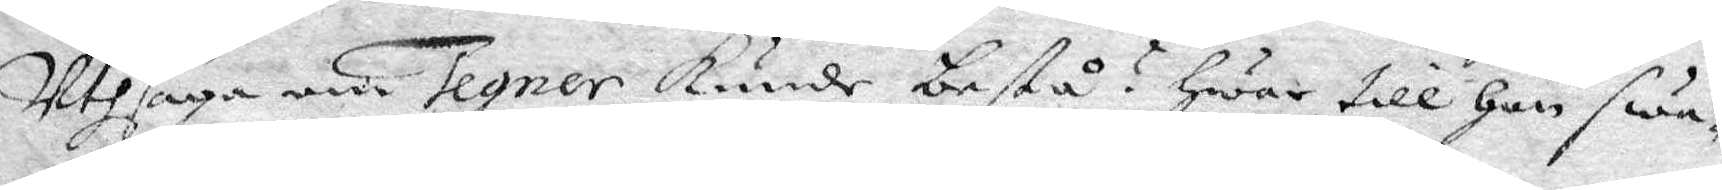Uthsaga om Tegner kunde bestå? Hwar till Hon swa¬
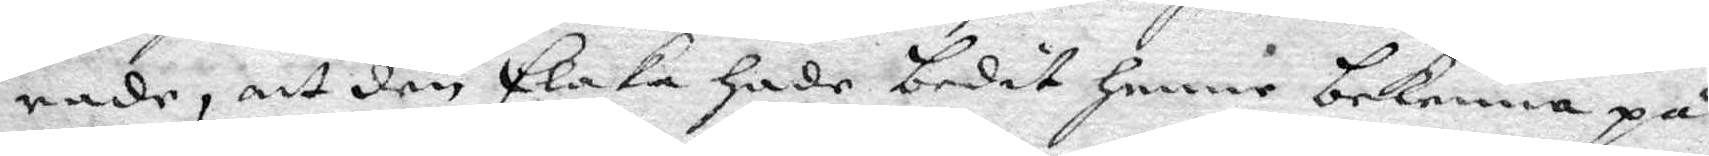rade, att den Elaka Hade bedit Henne bekenna på
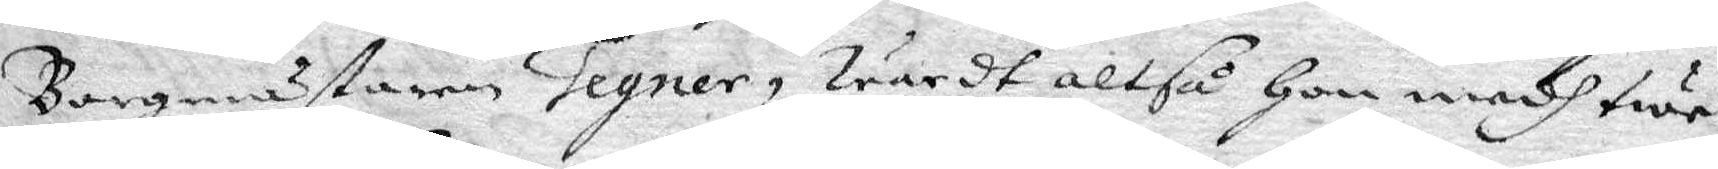Borgmästaren Tegner, wärdt altså Hon medh twe¬
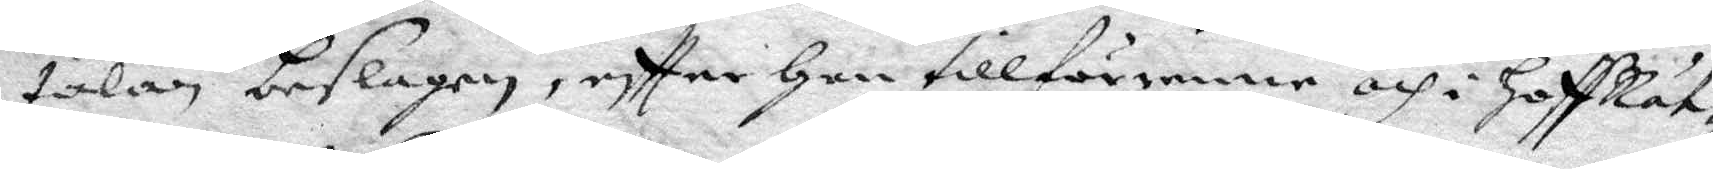talan beslagen, eftter han tillförenne och i HoffRät¬
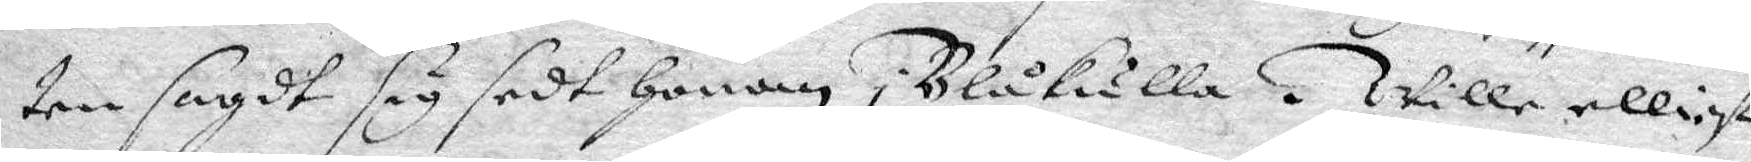ten sagdt sig sedt Honom i Blåkulla. Wille elliest
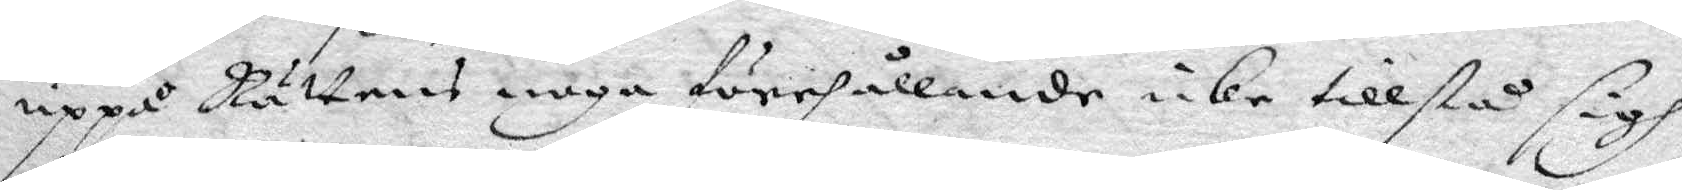uppå Rättens noga förehållande icke tillstå sigh
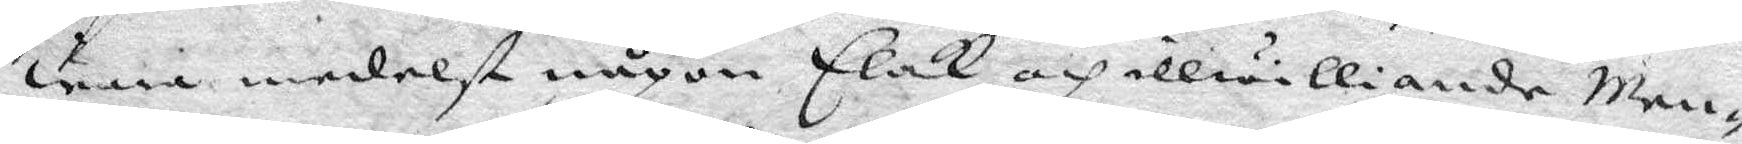wara medlest någon Elak och illwilliande Men¬
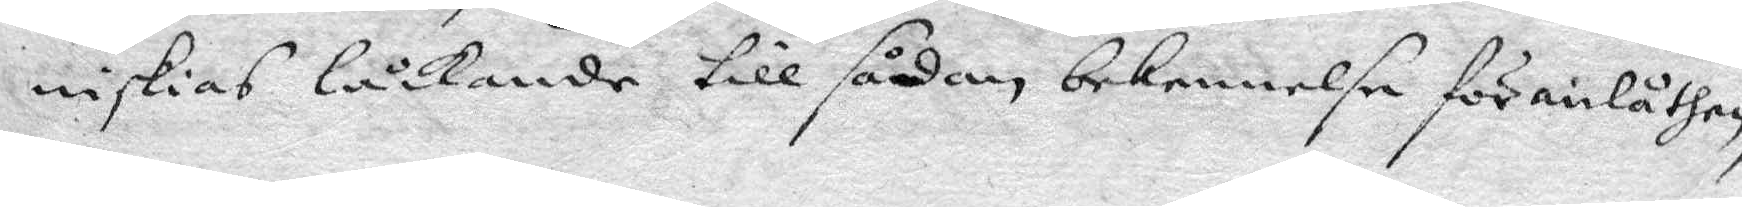niskias låckande till sådan bekennelse föranlåten,
